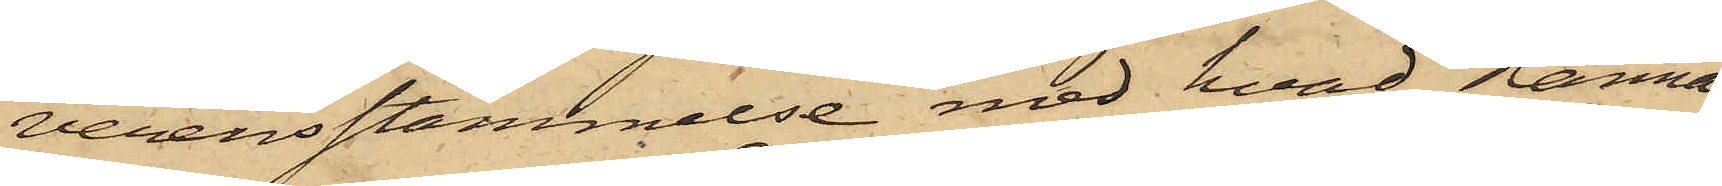verensstämmelse med hvad Hanna
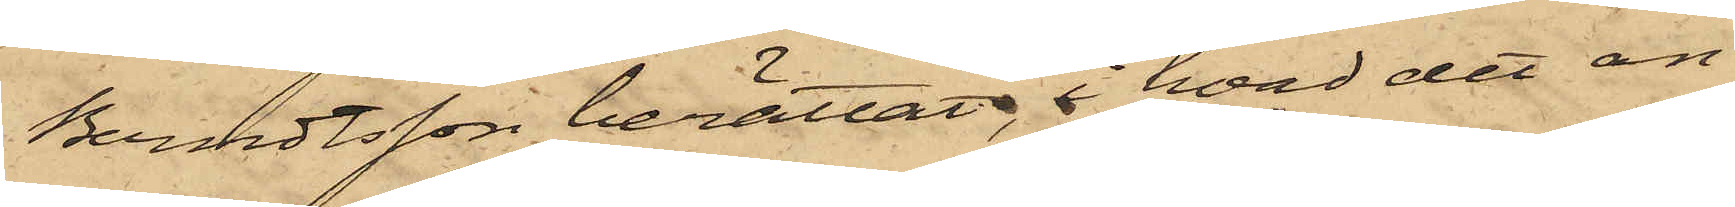Berndtsson berättat, i hvad det an¬
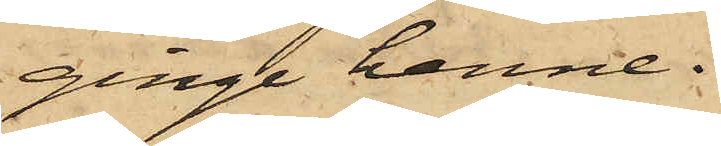ginge henne.
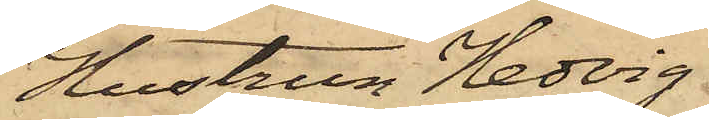Hustrun Hedvig
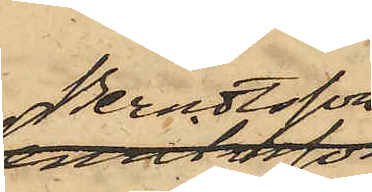Berndtsson
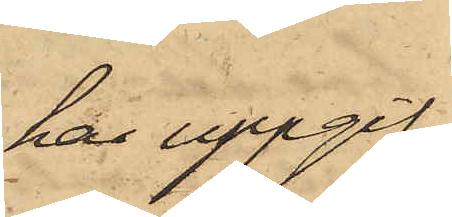har uppgif¬
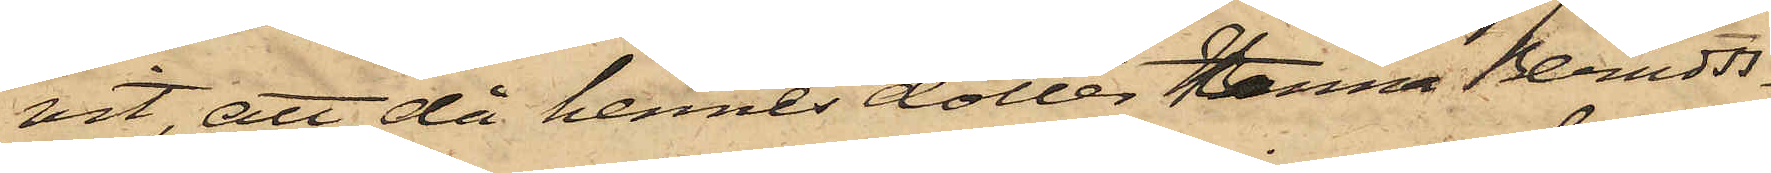vit, att då hennes dotter Hanna Berndts¬
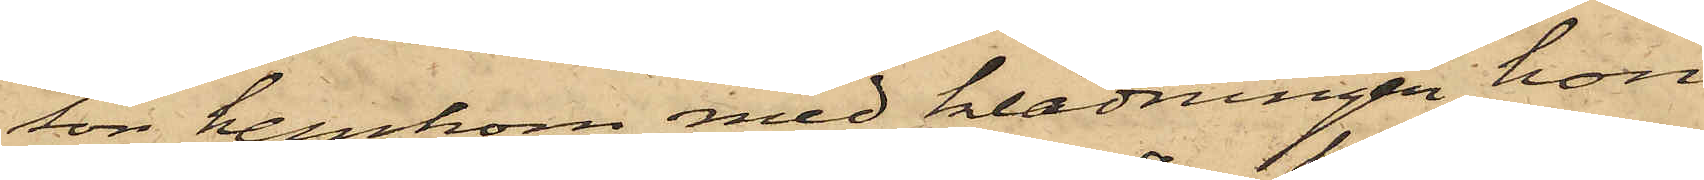son hemkom med klädningen hon
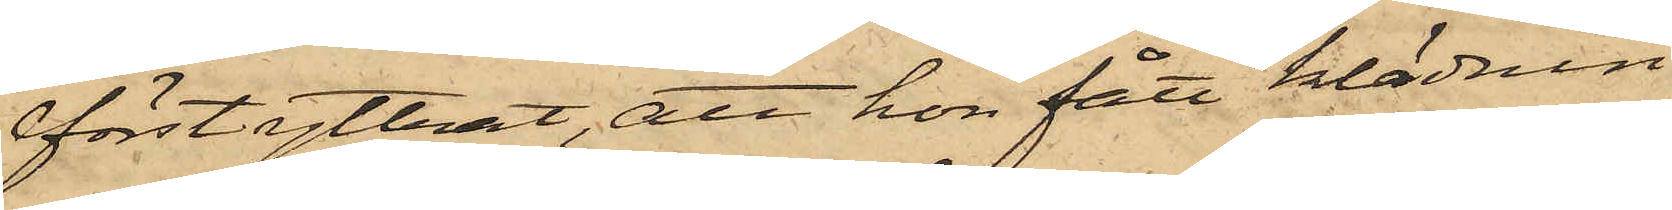först yttrat, att hon fått klädnin¬
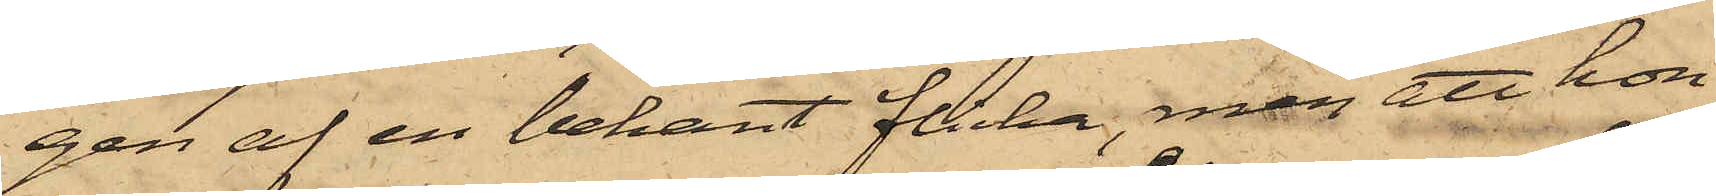gen af en bekant flicka, men att hon
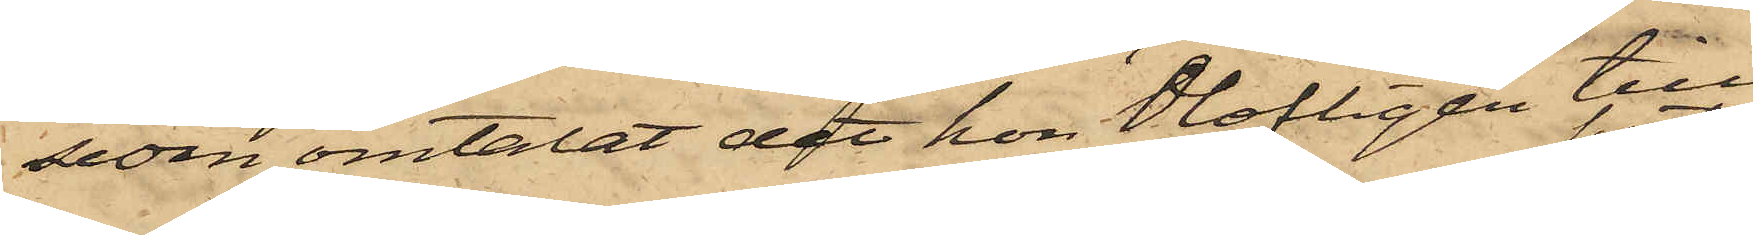sedan omtalat det hon olofligen till¬
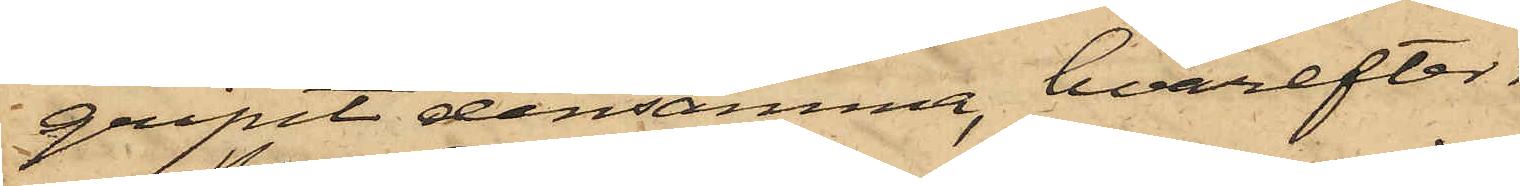gripit densamma, hvarefter
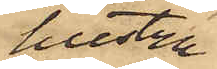hustru
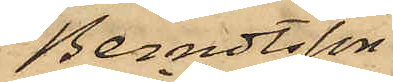Berndtsson
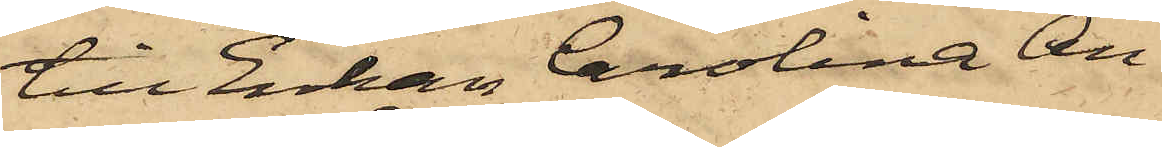till Enkan Carolina An¬
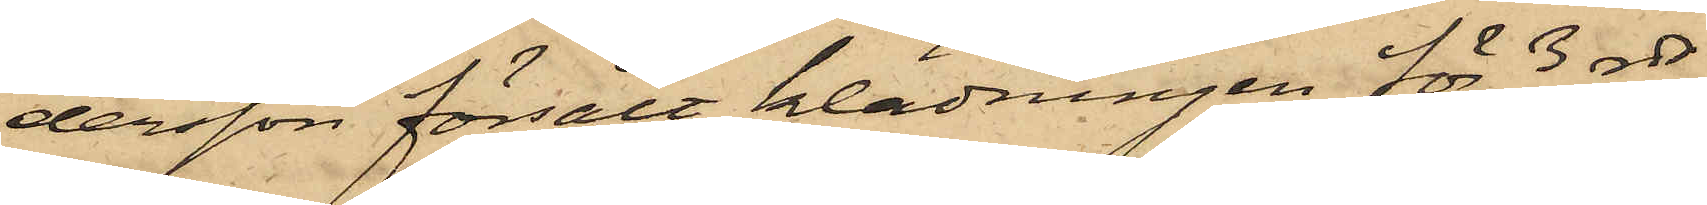dersson försålt klädningen för 3 rdr,
